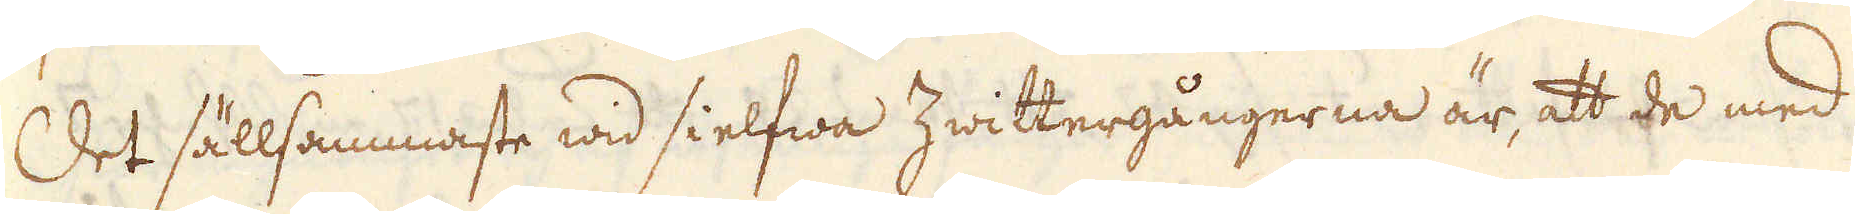Det sällsammaste wid sielfwa Zwittergångerna är, att de med
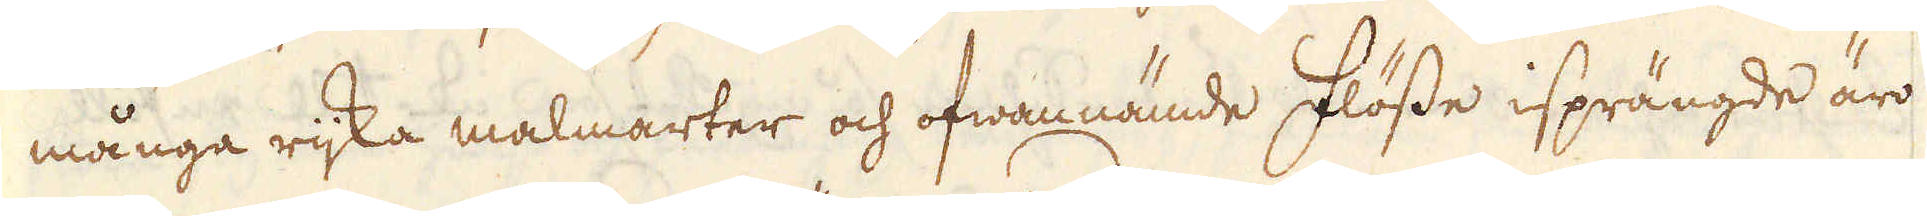många rijka malmarter och ofwannämde flösse isprängde äro
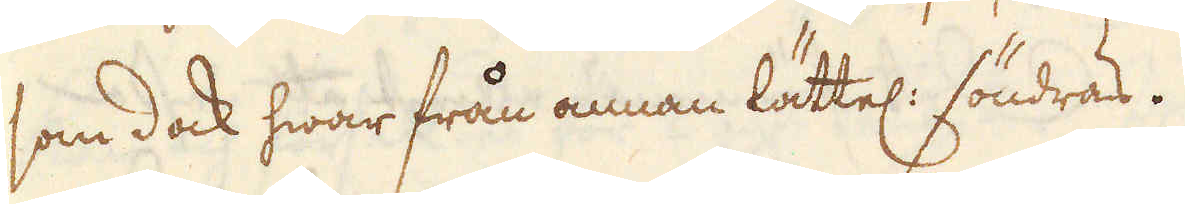som dock hwar från annan lättel: söndras.
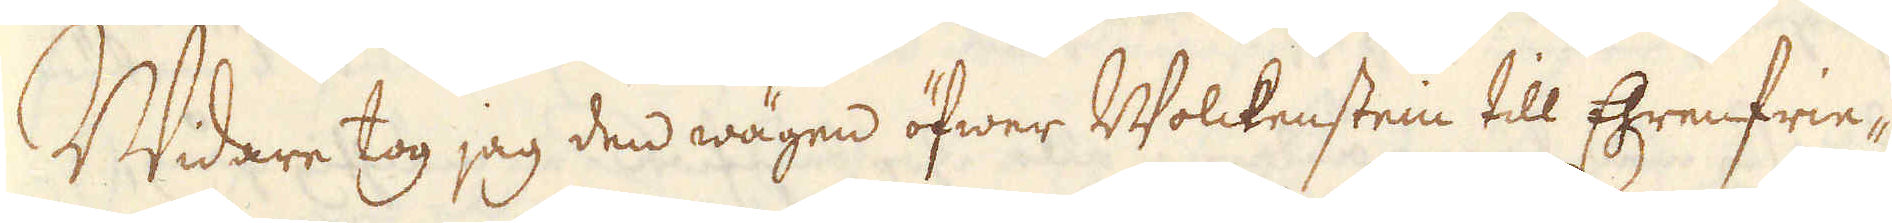Widare tog jag den wägen öfwer Wolckenstein till Ehrenfrie-
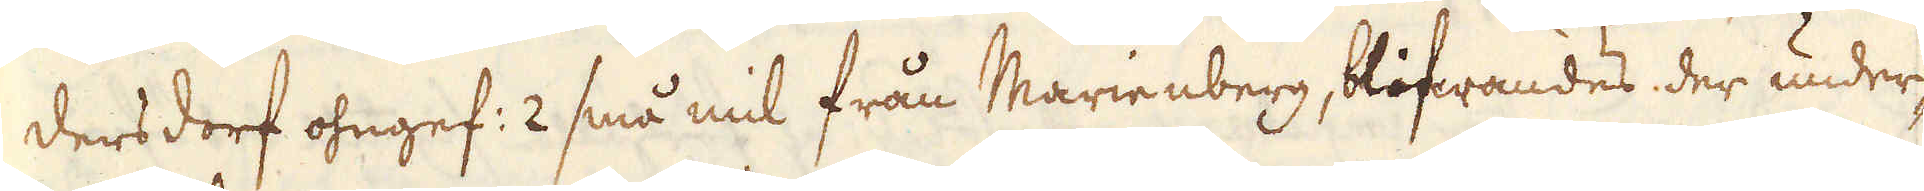dersdorf ohngef: 2 små mil från Marienberg, blifwandes der under-
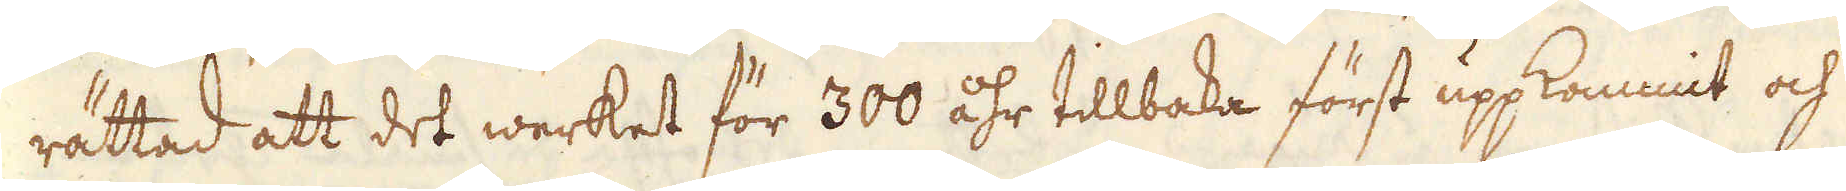rättad att det werket för 300 åhr tillbaka först uppkommit och
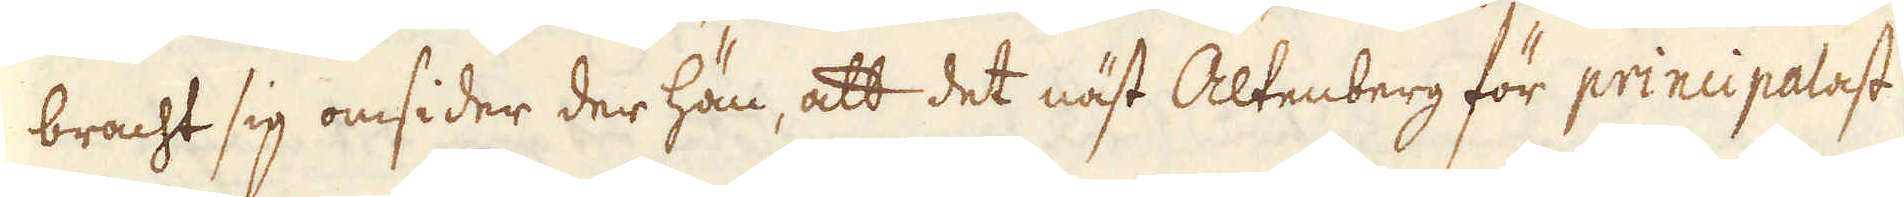bracht sig omsider der hän, att det näst Altenberg för principalast
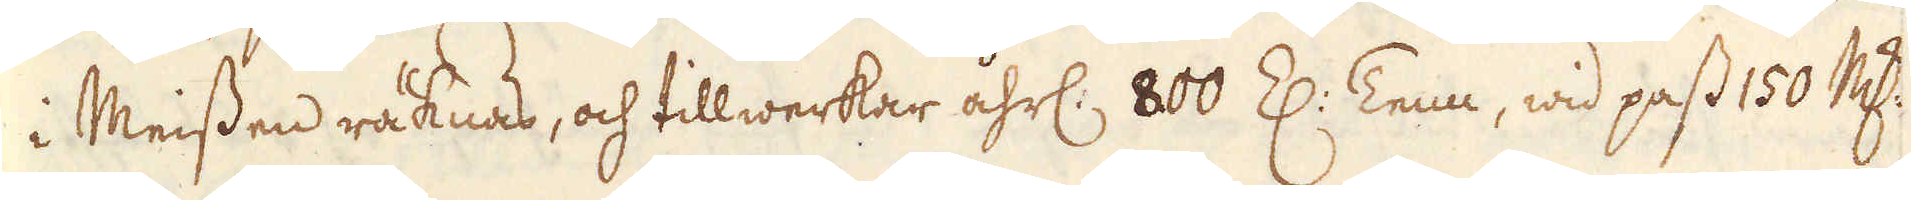i Meissen räknas, och tillwerkar åhrl: 800 Z: Tenn, wid pass 150 marker
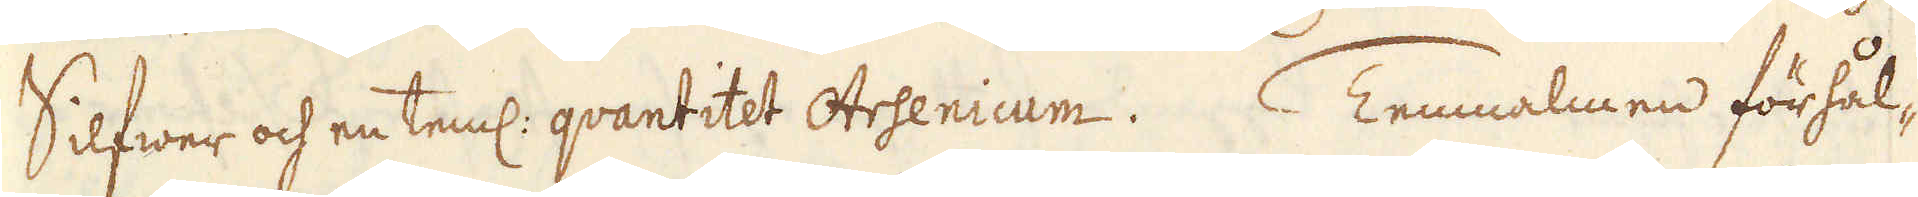Silfwer och en teml: qvantitet Arsenicum. Tennmalmen förhål-
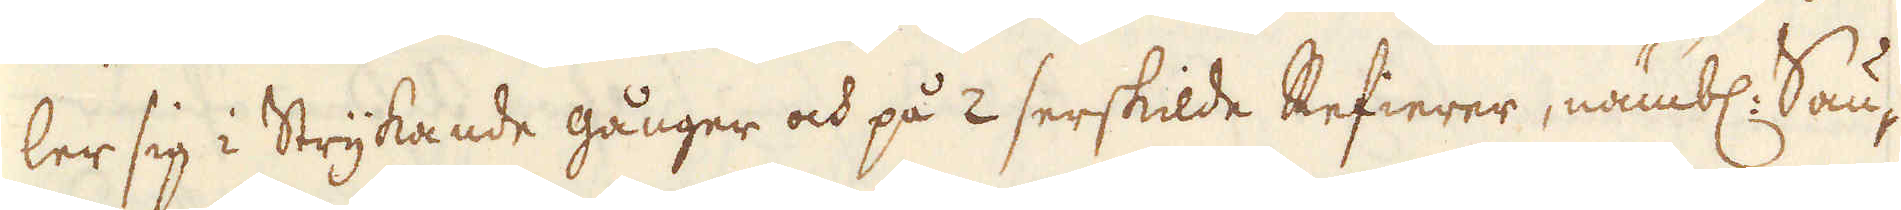ler sig i Strykande gånger och på 2 serskilde Refierer, nämbl: Sau-
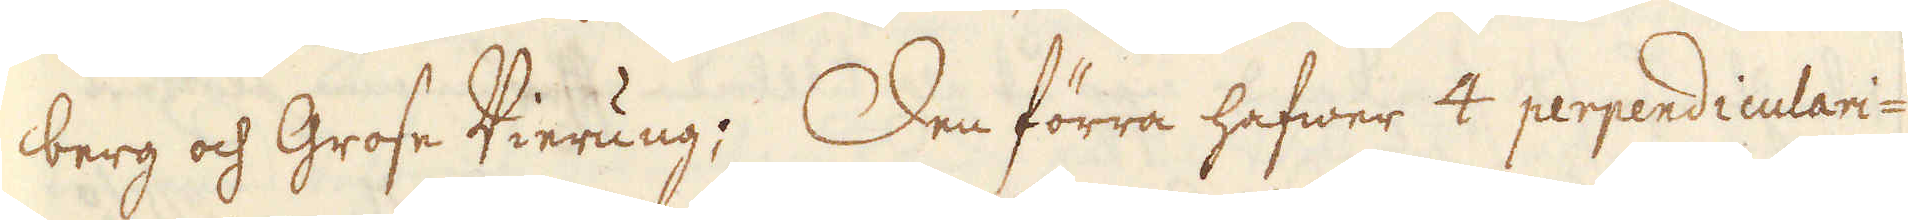berg och Grose Vierung; Den förra hafwer 4 perpendiculari-
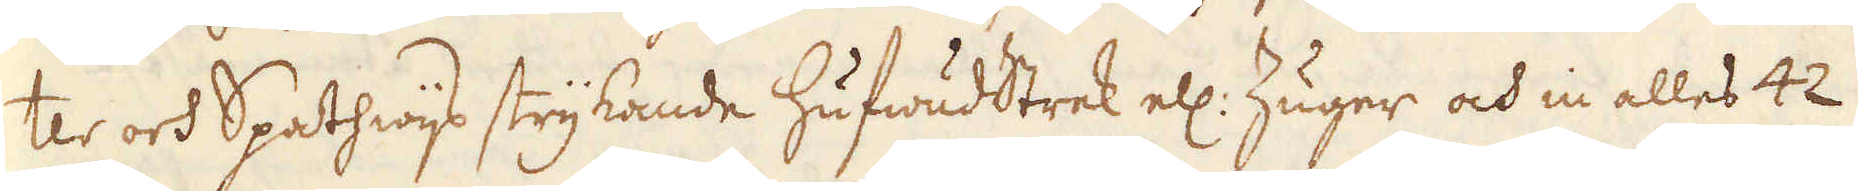ter och Spathwijs strykande hufwudstrek ell: Zuger och in alles 42
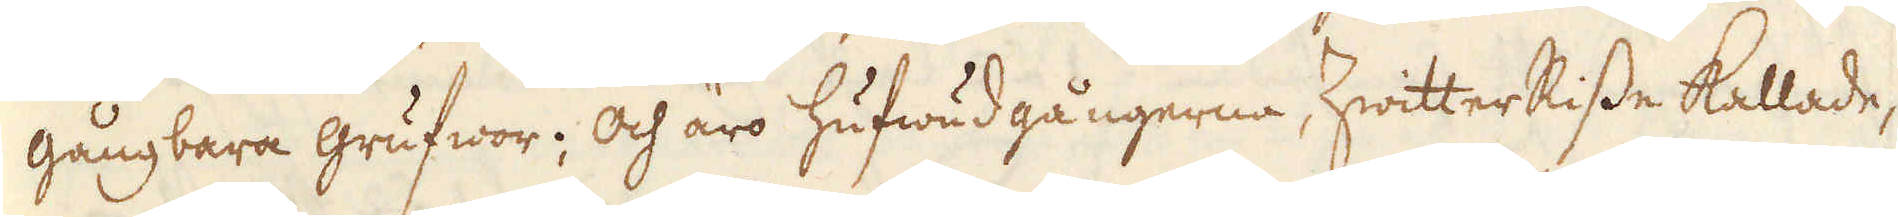gångbara grufwor; och äro hufwudgångerne, hwitterRisse kallade,
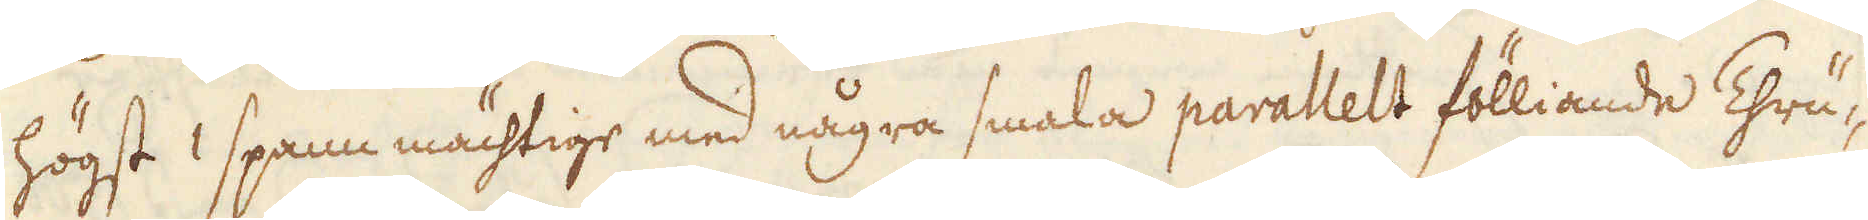högst 1 spann mächtige med några smala parallelt fölliande Thrü-
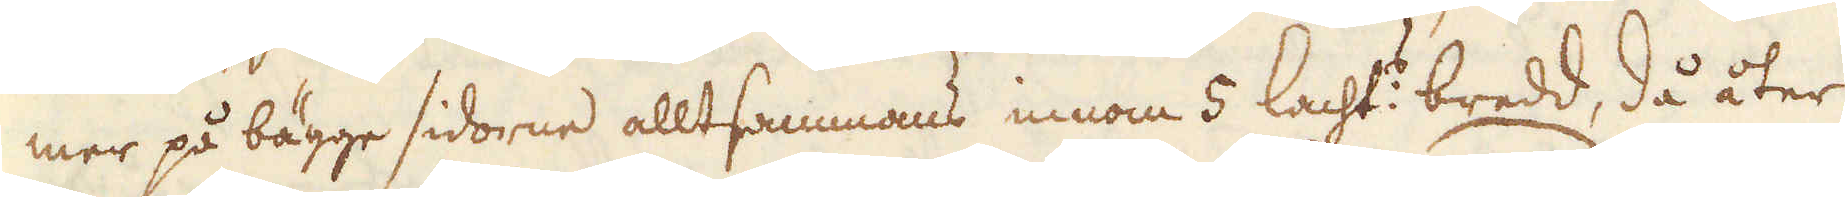mer på bägge sidorne alltsammans innom 5 lacht:s bredd, då åter
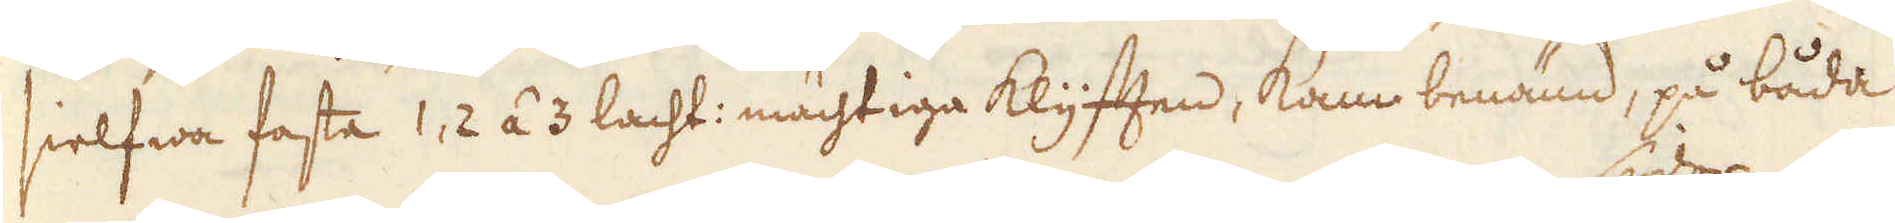sielfwa fasta 1, 2 á 3 lacht: mächtiga klyften, kam benämd, på båda
